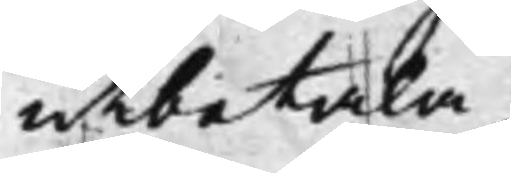utbetala.
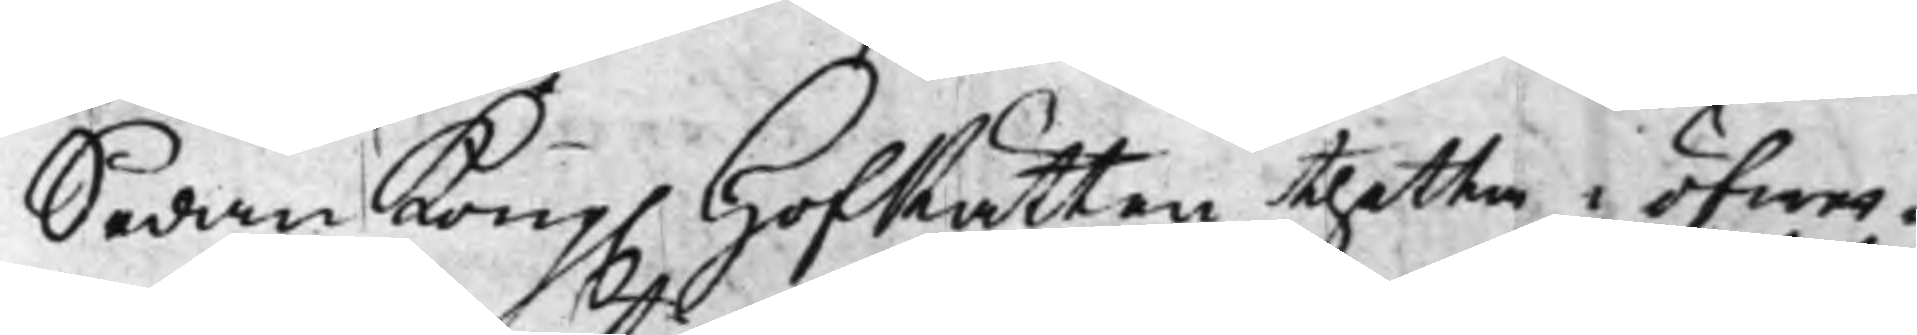Sedan Kong. HofRätten thetta i öfwer¬
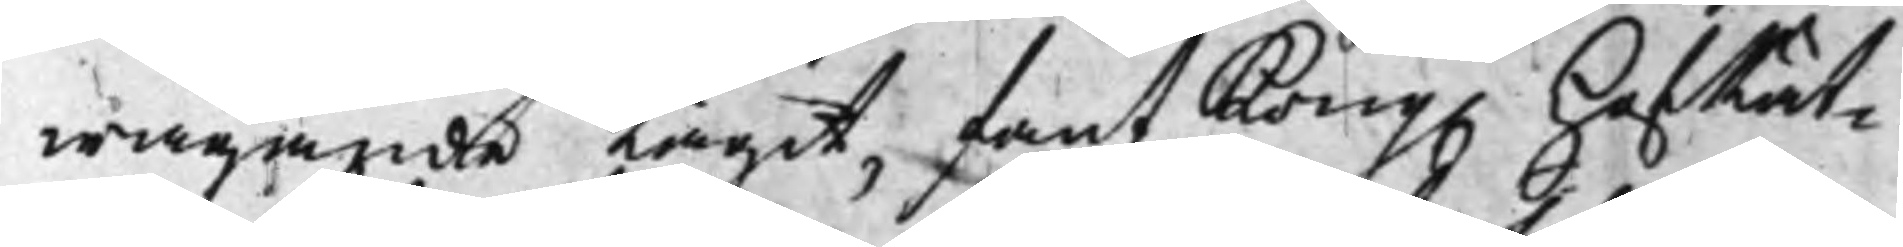wägande tagit, fant Kong. HofRät¬
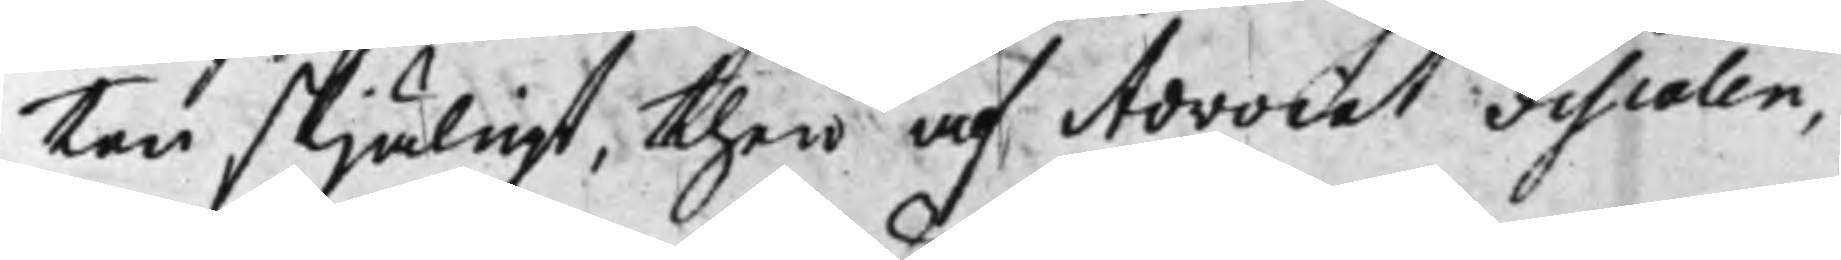ten skjäligt, then af Advocat Fiscalen,
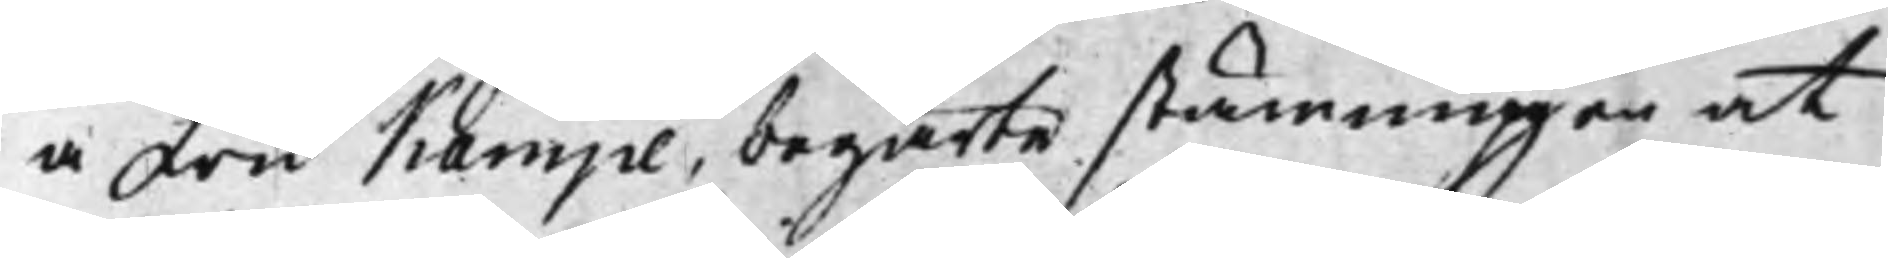å Fru Kampe begärte stämningen at
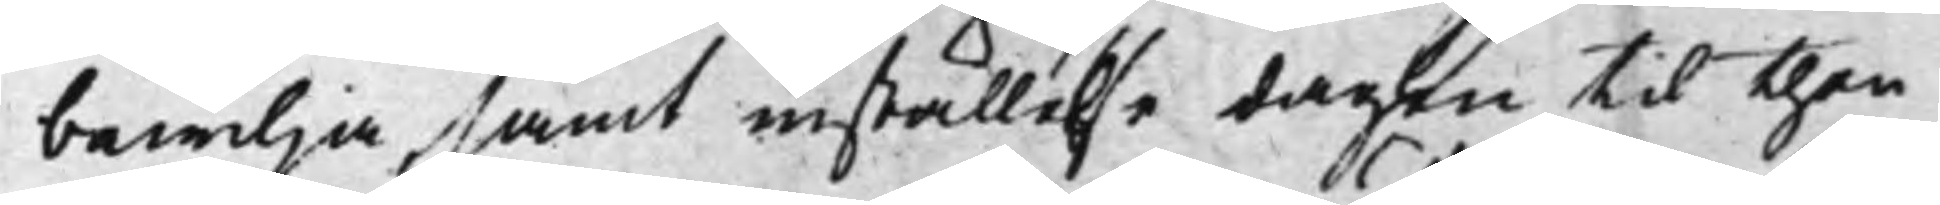bewilja, samt inställelse dagen til then
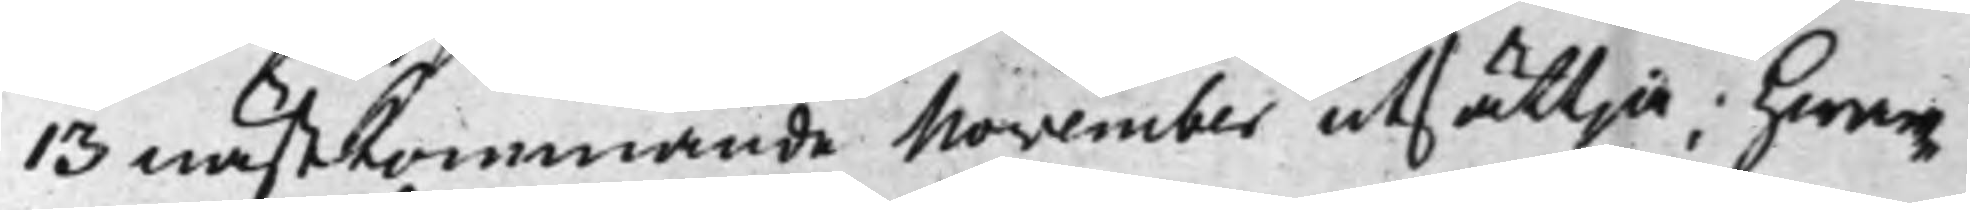13 nästkommande November utsättja; hwar¬
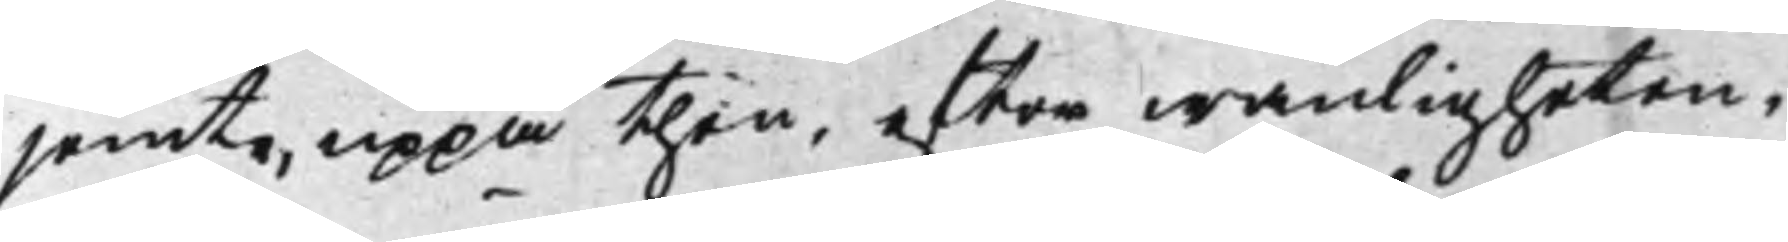jemte, uppå then, efter wanligheten,
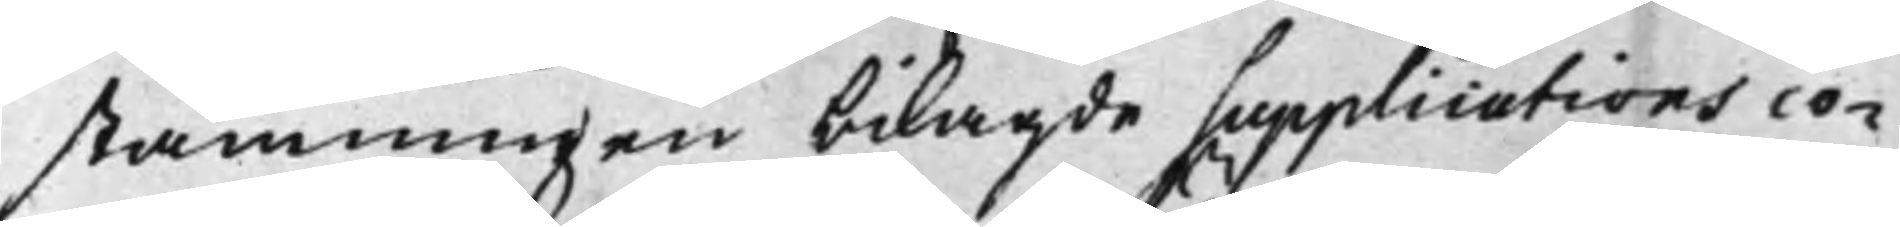stämningen bilagde supplicationsco¬
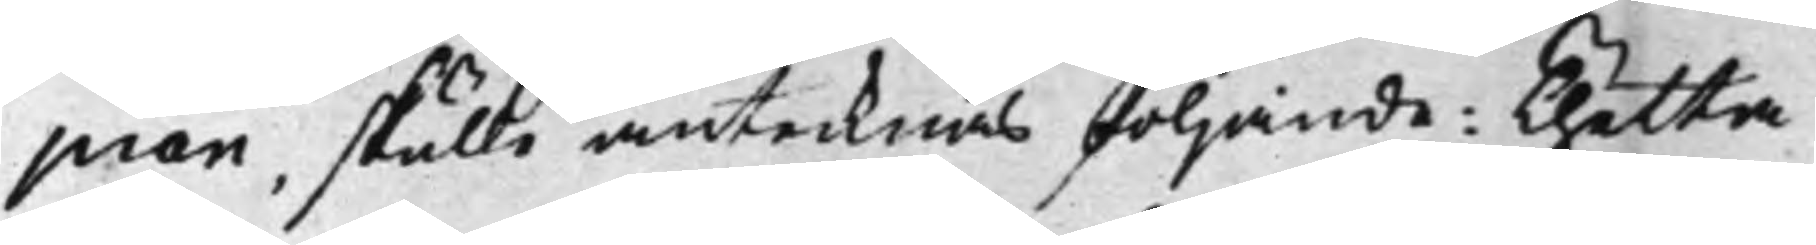pian, skulle antecknas följande: Thetta
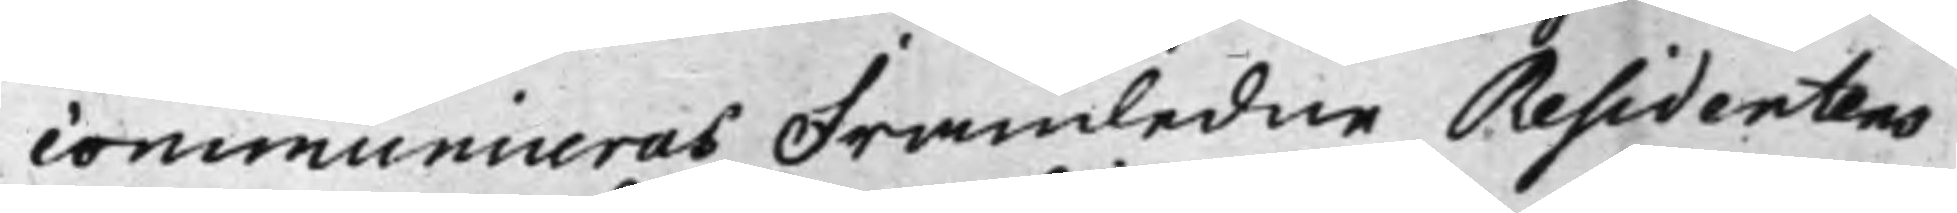communiceras Framledne Residentens
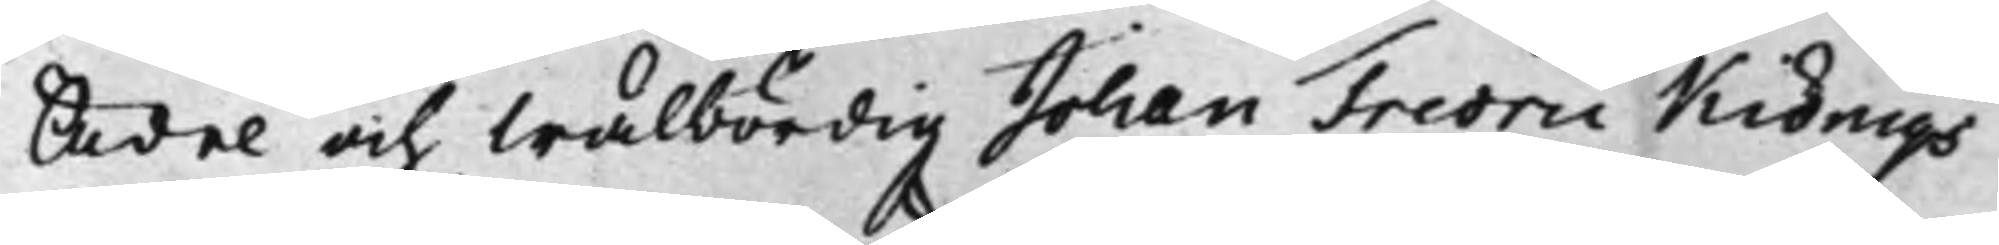Ädel och Wälbördig Johan Fredric Kiönigs
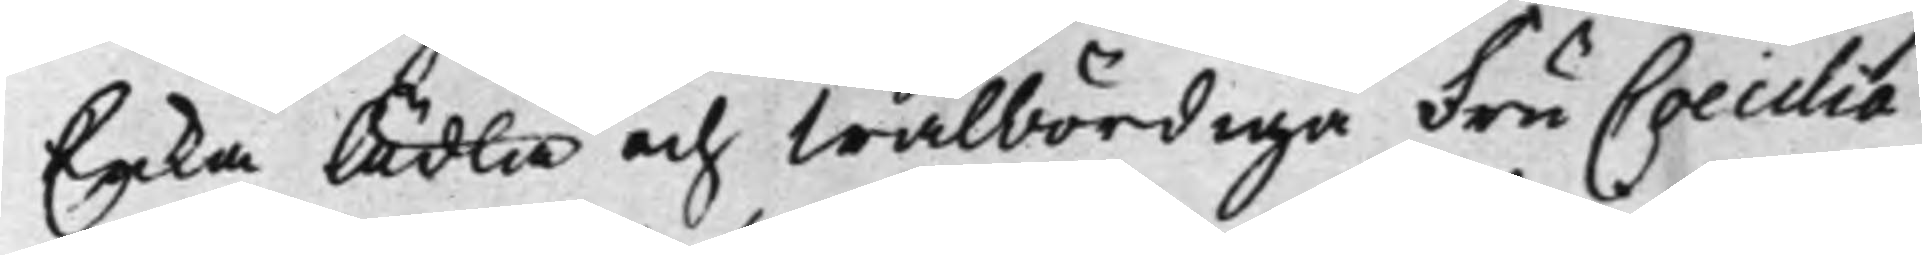Enka Ädla och Wälbördiga Fru Caecilia
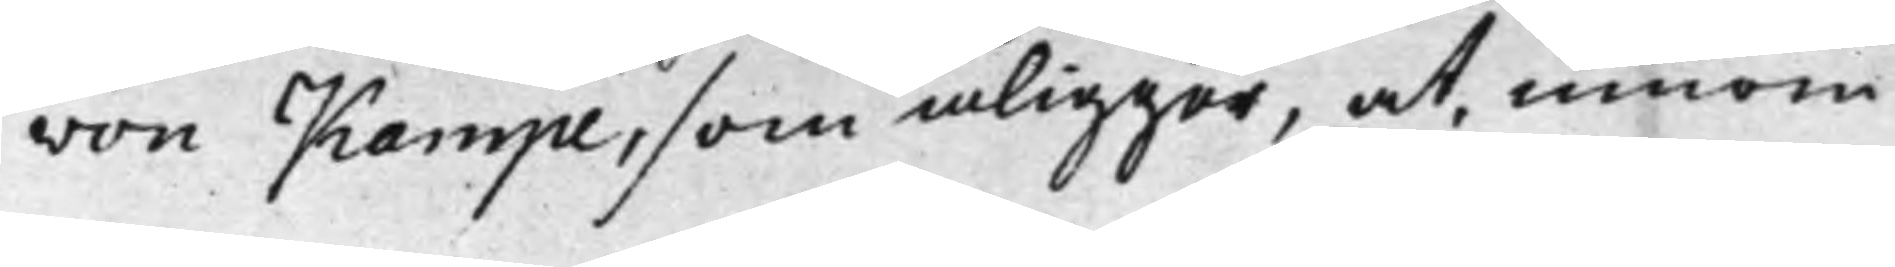von Kampe, som åligger, at, innom
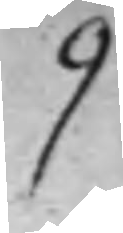9
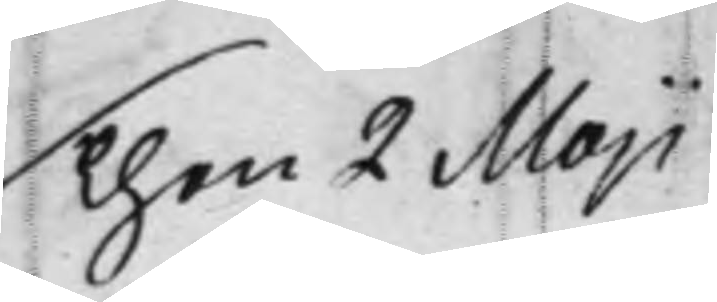Then 2 Maji
